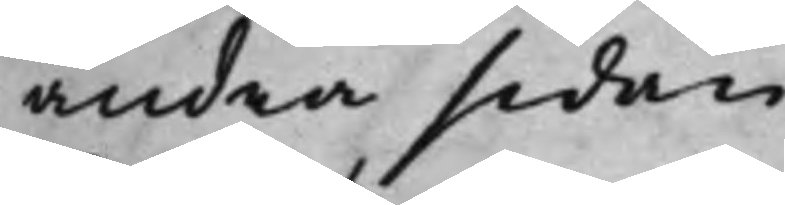andra sidan.
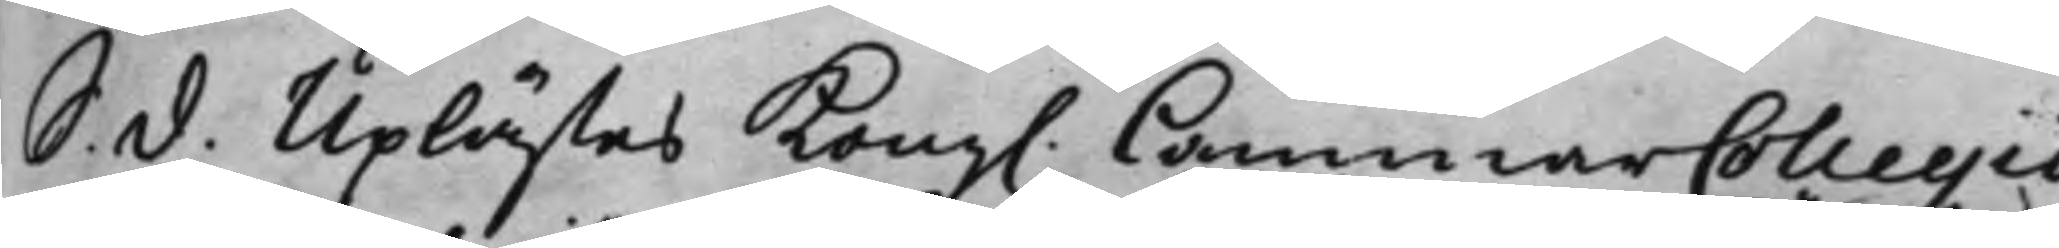S. d. Uplästes Kong. CammarCollegii
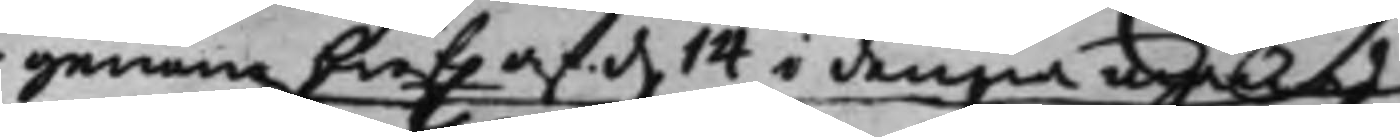genom bref af d. 14 i denna månad
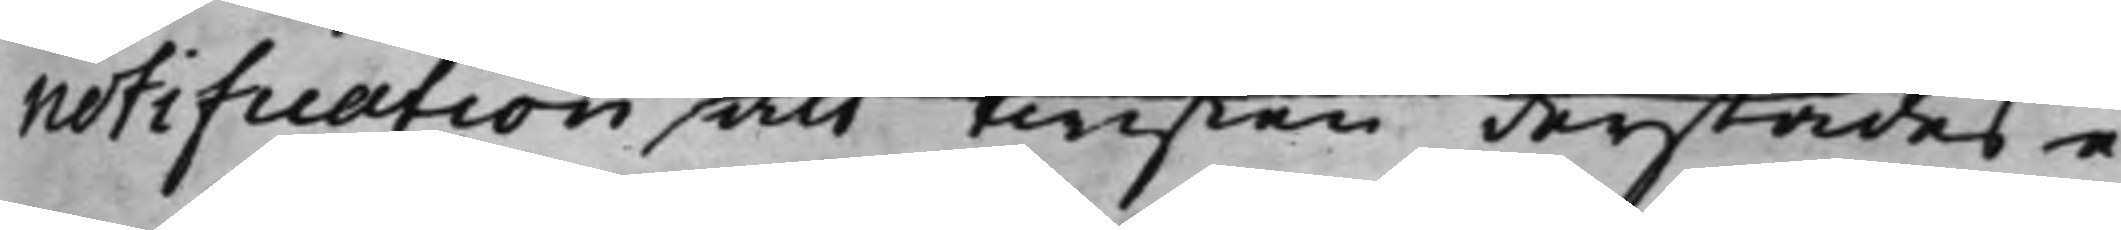notification, att twisten derstädes e¬
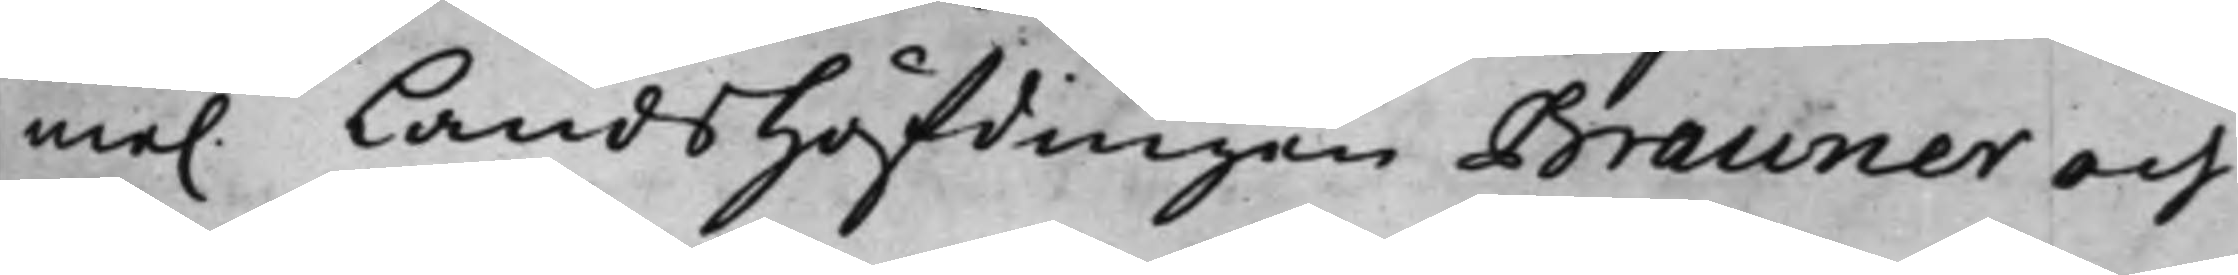me. Landshöfdingen Brauner och
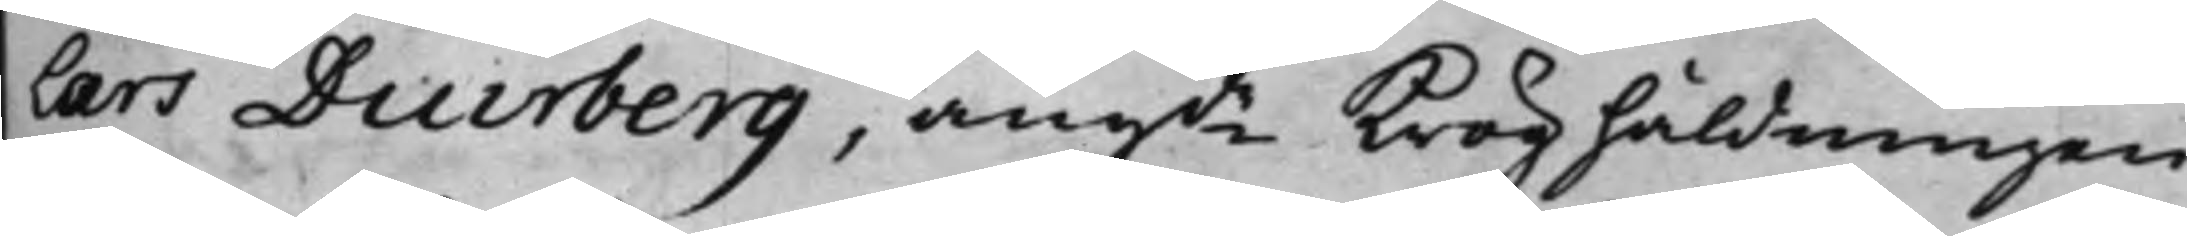Lars Diurberg, angde Kroghåldningen
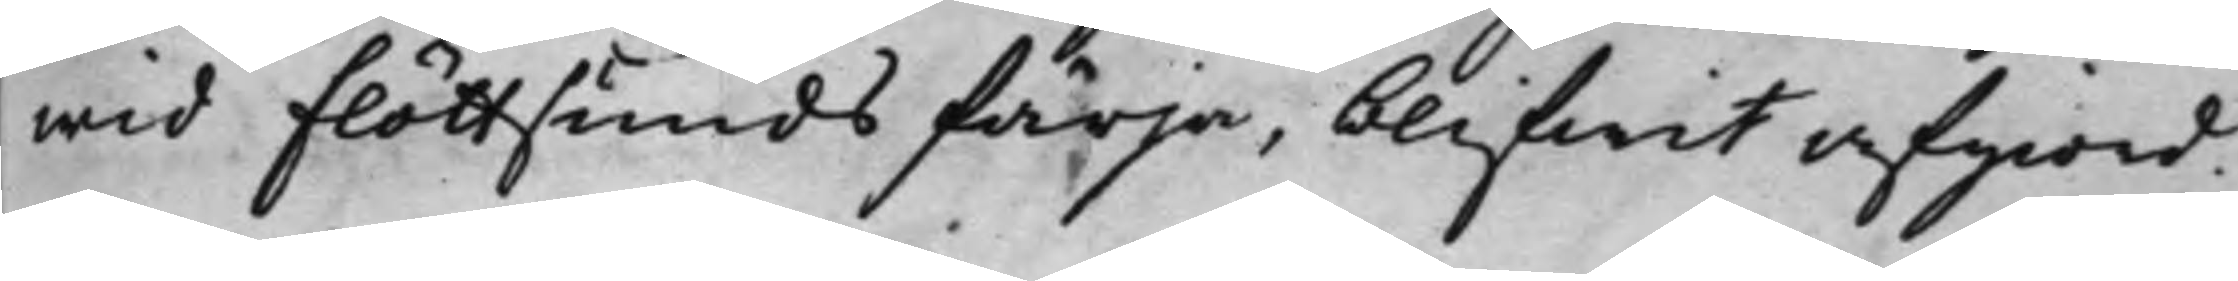wid Flöttsunds färja, blifwit afgiord.
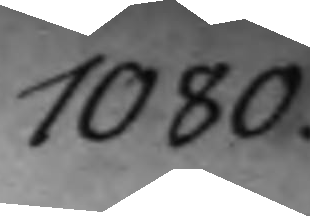1080.
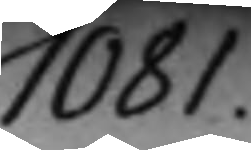1081.
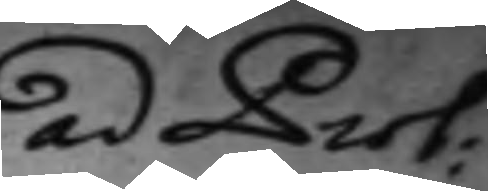ad Prot:
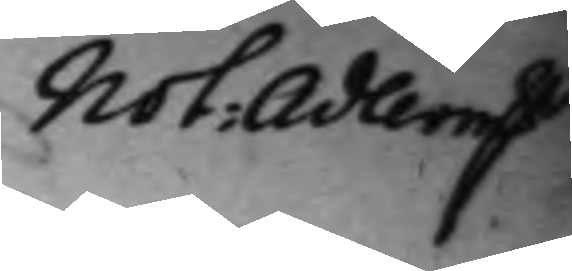Not: Adlerm.
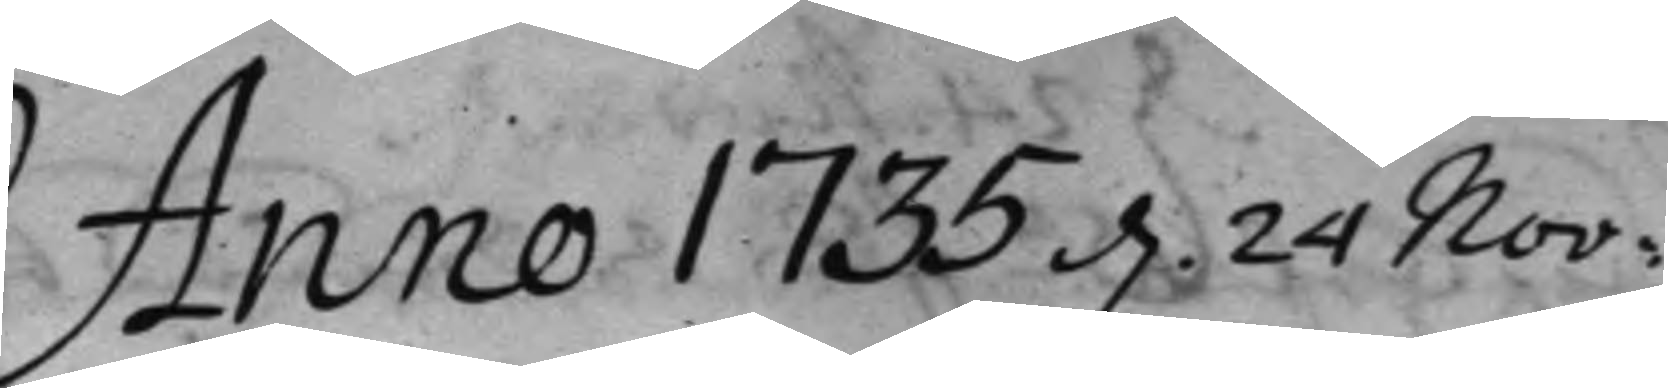Anno 1735 d. 24 Nov:
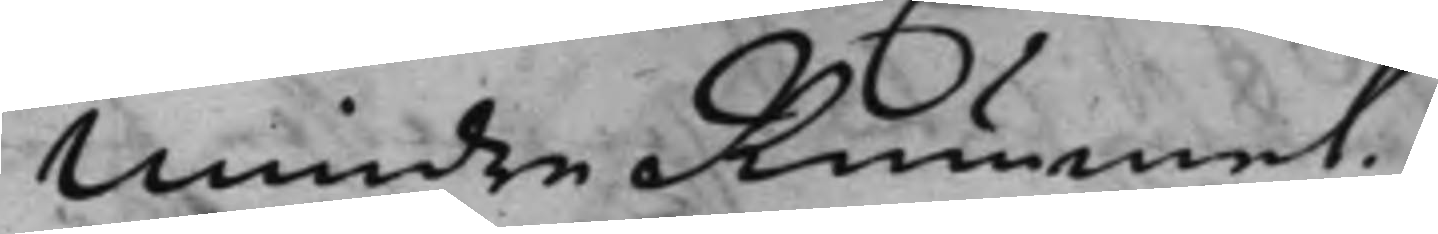Mindre Rummet.
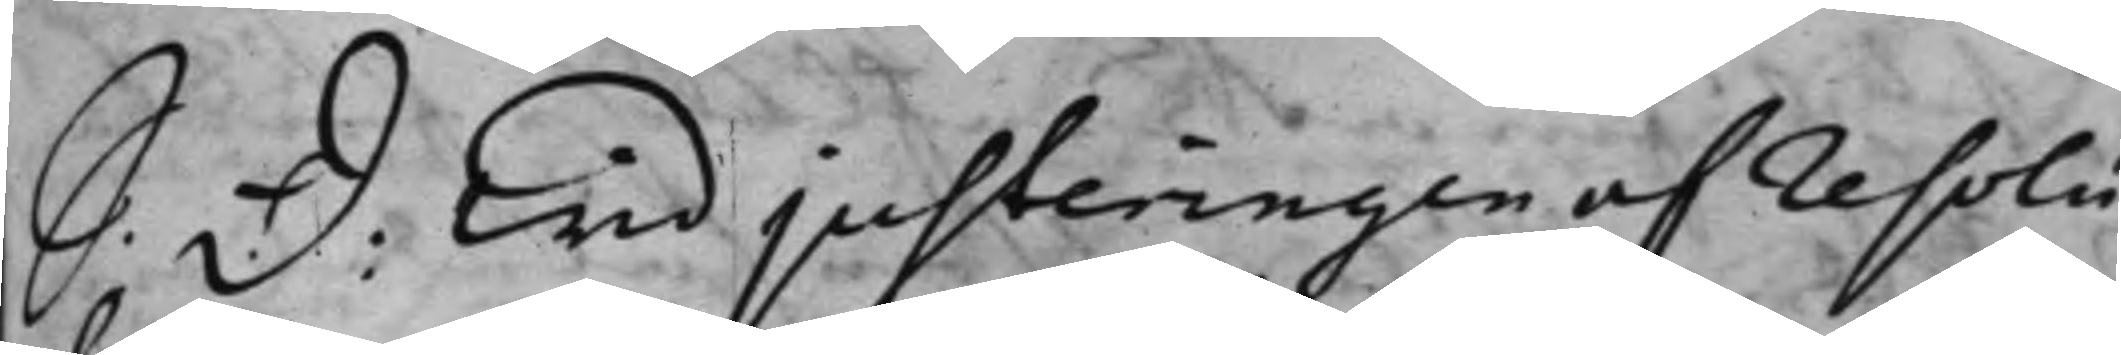S: d: Wid justeringen af resolu¬
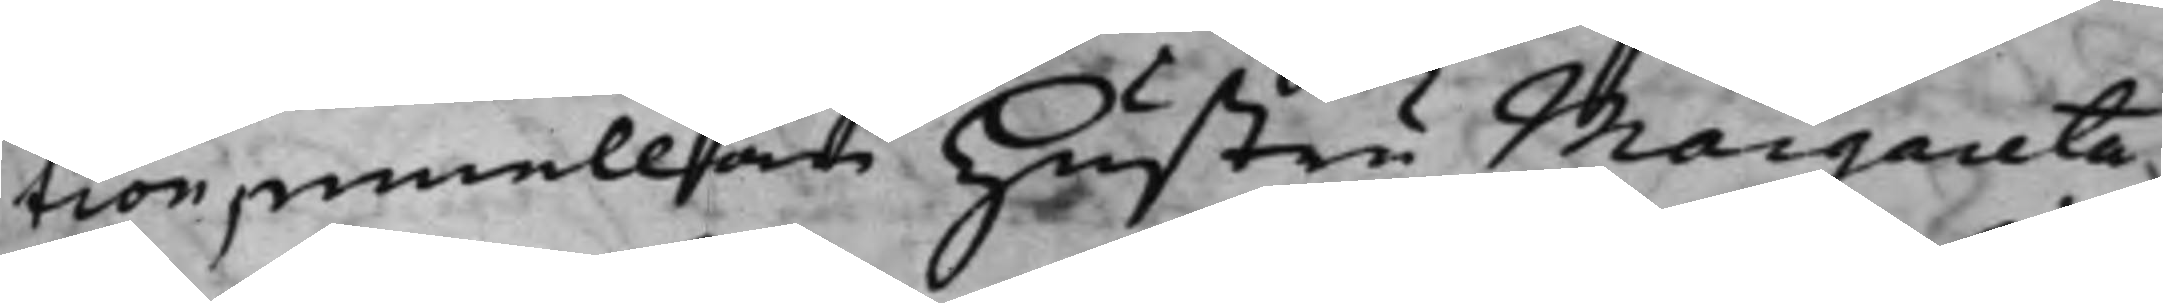tion, emellan hustru Margareta
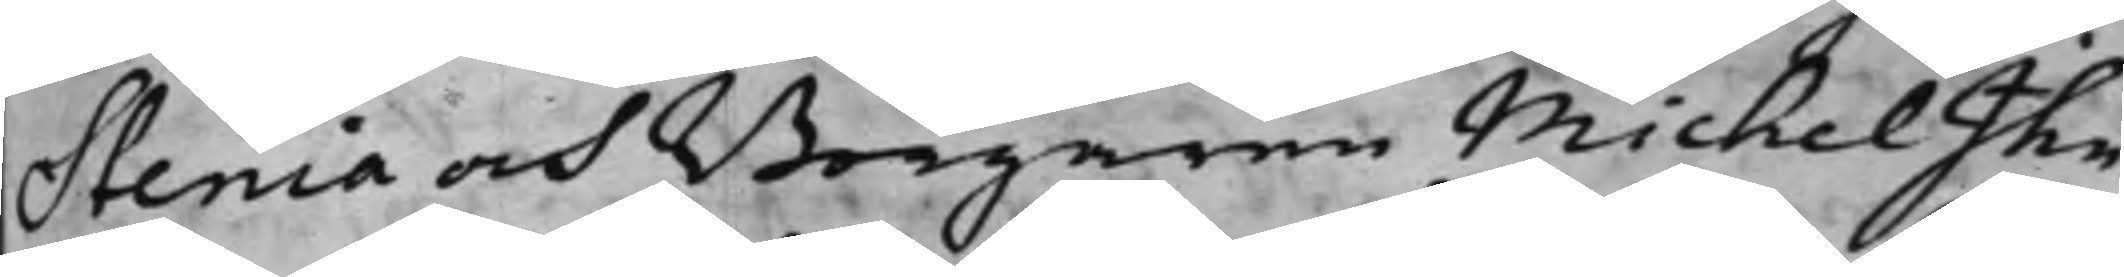Stenia och Borgaren Michel Ihn
